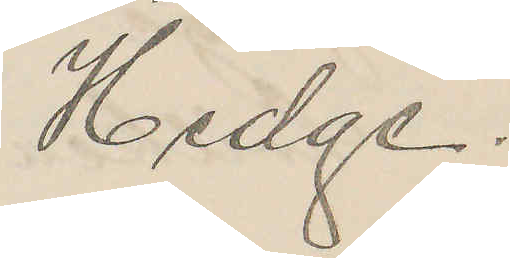Hedge.
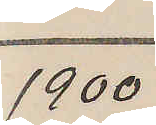1900
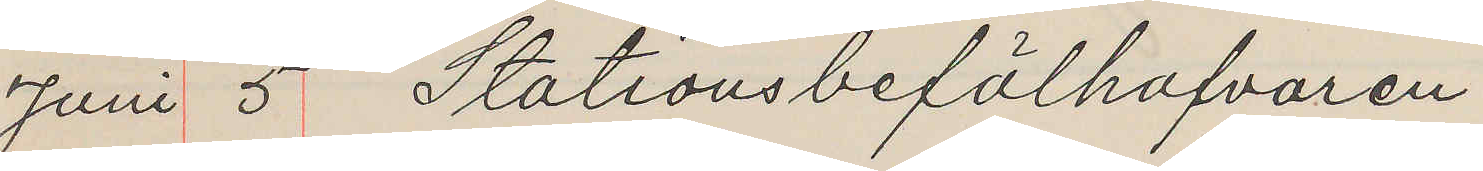Juni 5 Stationsbefälhafvaren
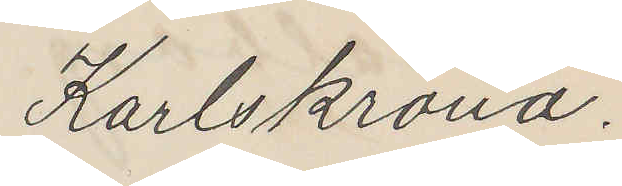Karlskrona.
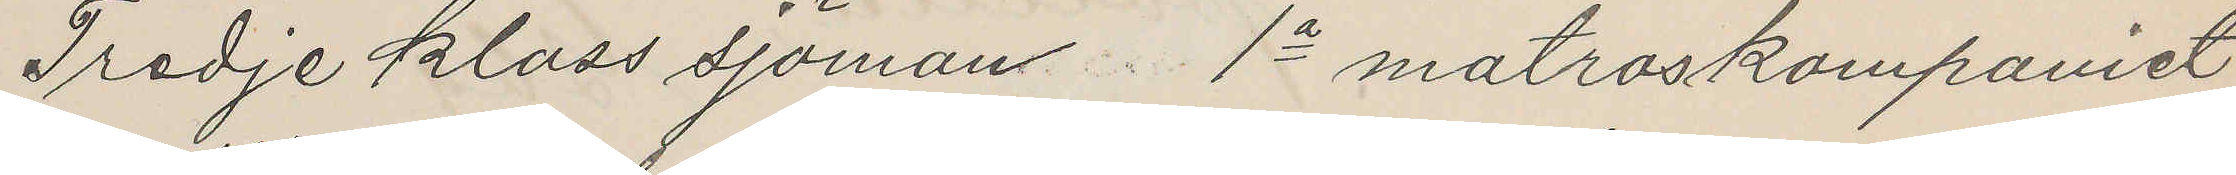Tredje klass sjömans 1a matroskompaniet
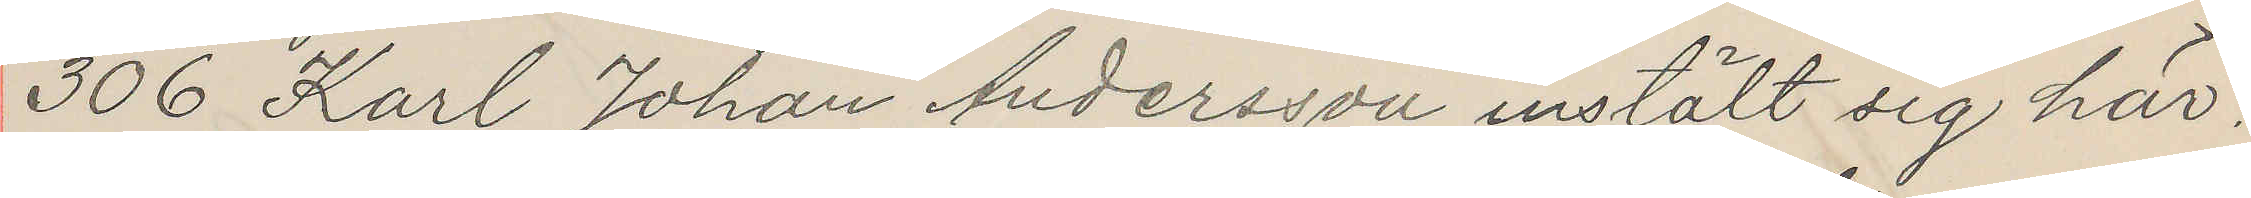306 Karl Johan Andersson instält sig här
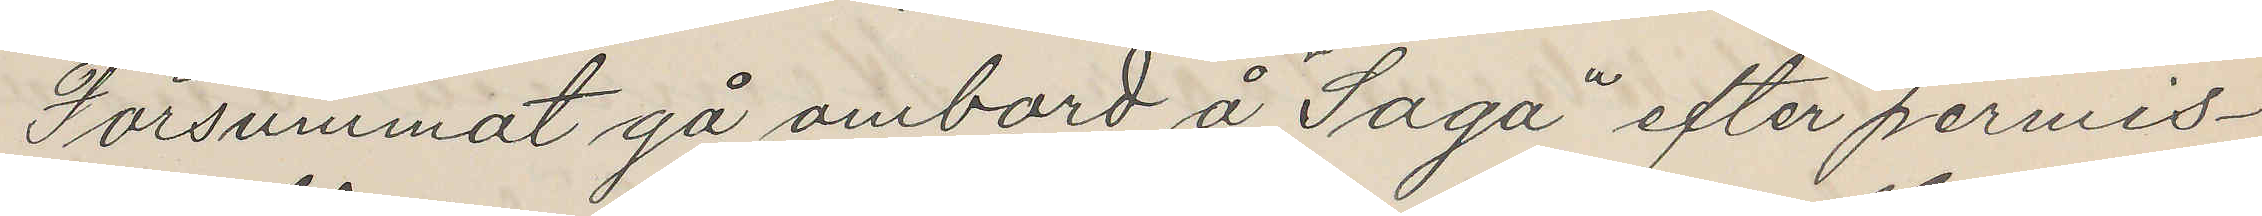Försummat gå ombord å "Saga" efter permis¬
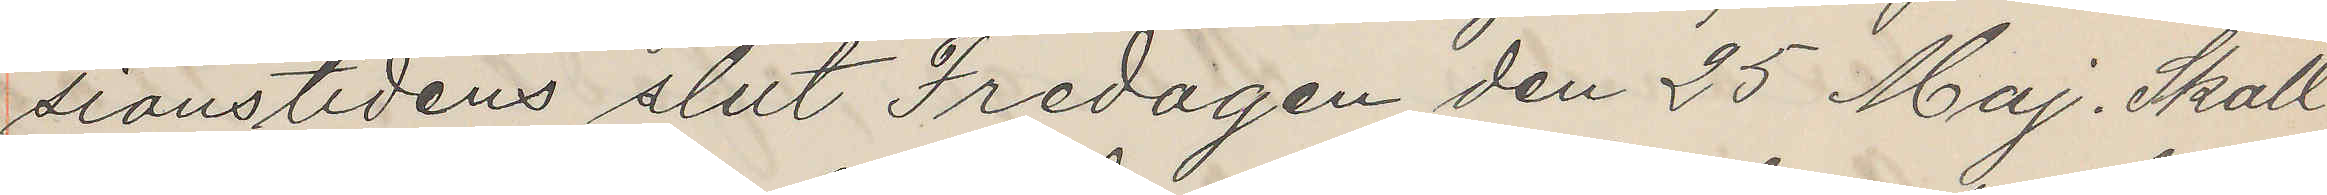sionstidens slut Fredagen den 25 Maj. Skall
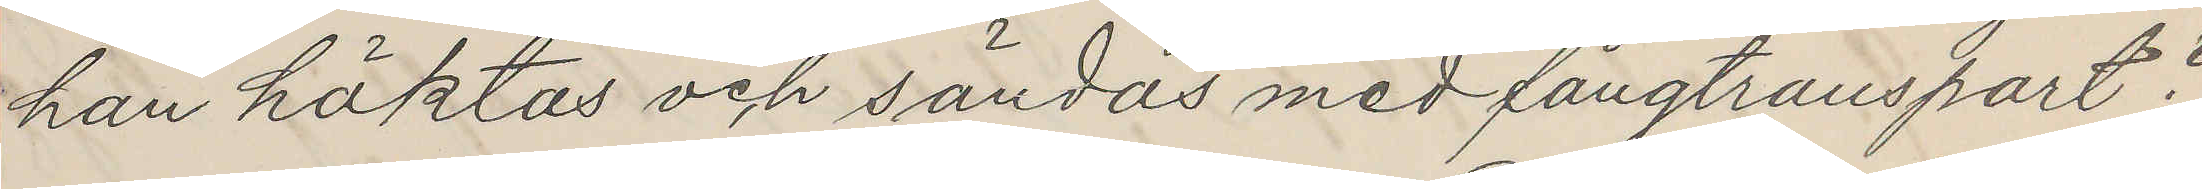han häktas och sändas med fångtransport?
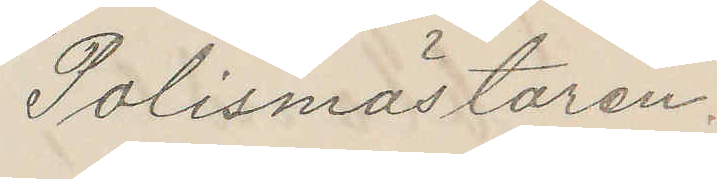Polismästaren.
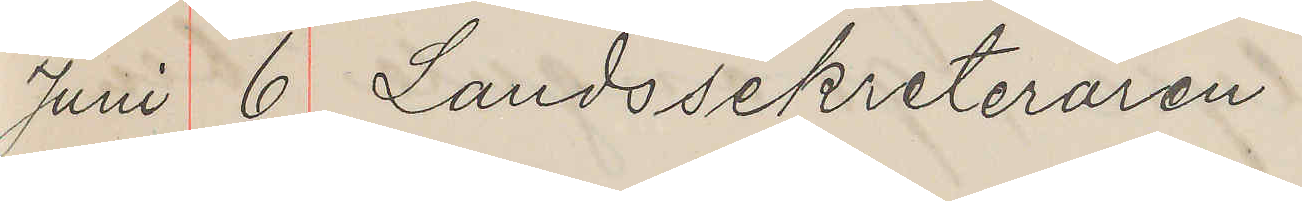Juni 6 Landssekreteraren
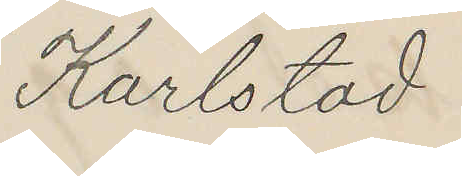Karlstad
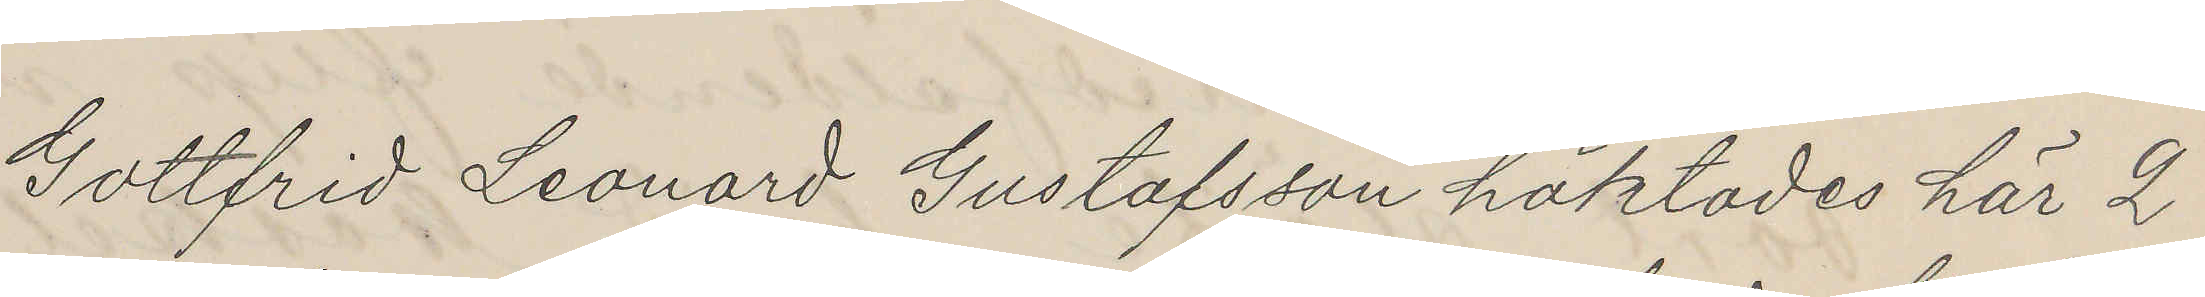Gottfrid Leonard Gustafsson häktades här 2
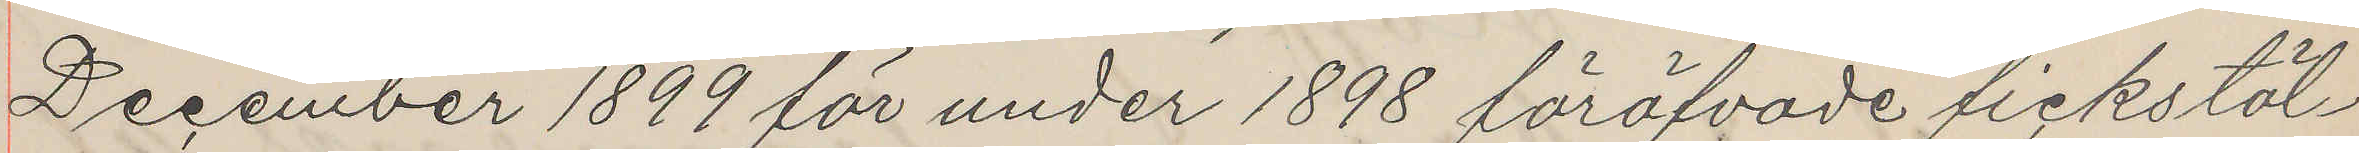December 1899 för under 1898 föröfvade fickstöl¬
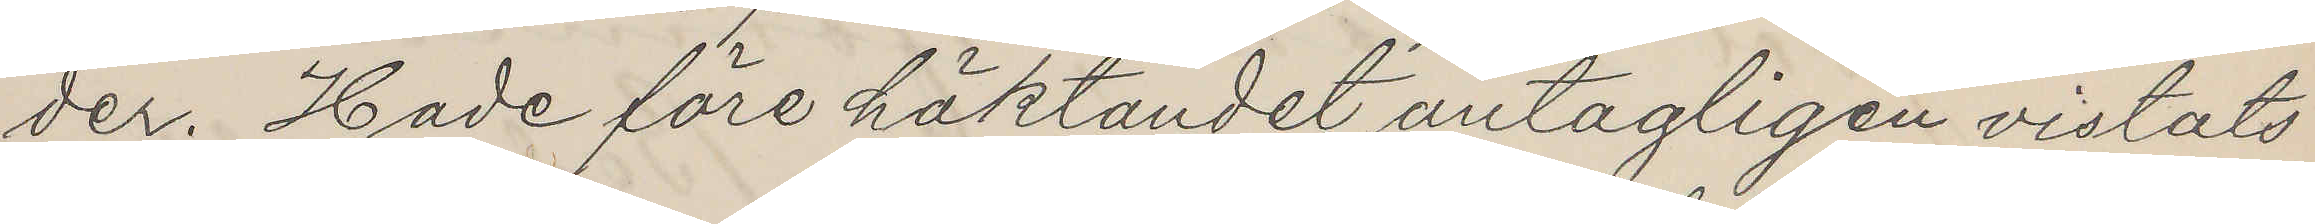der. Hade före häktandet antagligen vistats
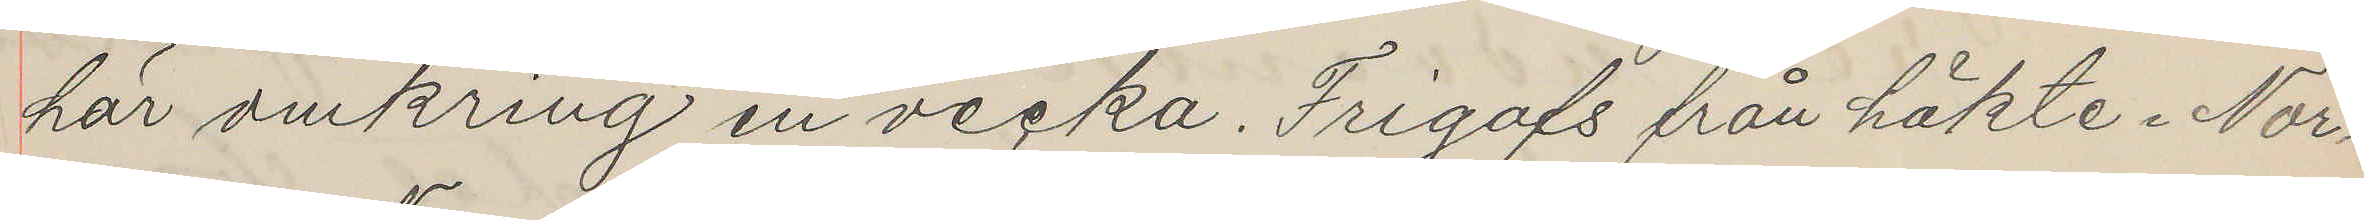här omkring en vecka. Frigafs från häkte i Nor¬
